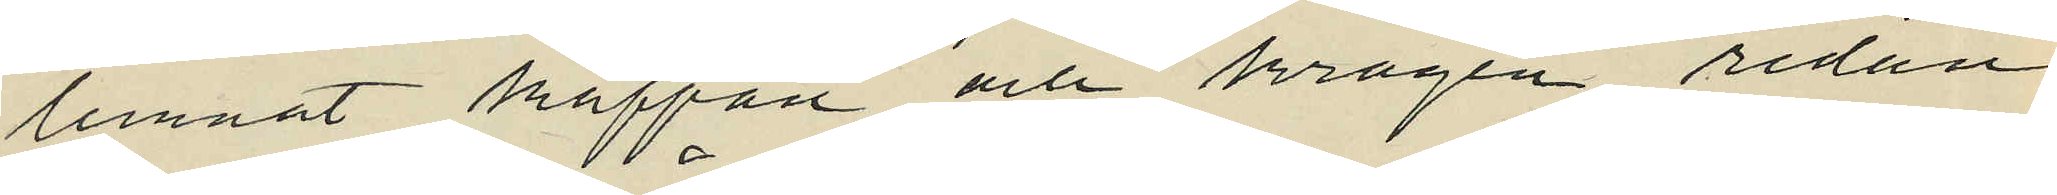lemnat kappan och kragen, redan
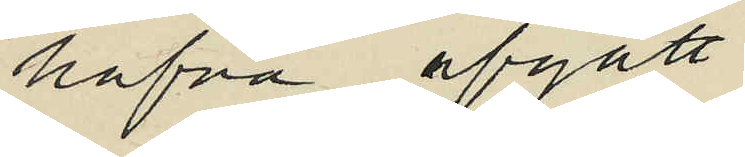hafva afgått.
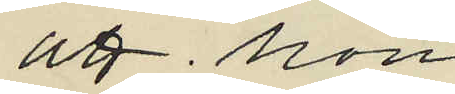att hon
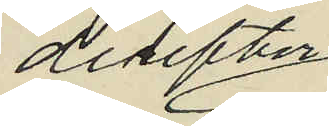derefter
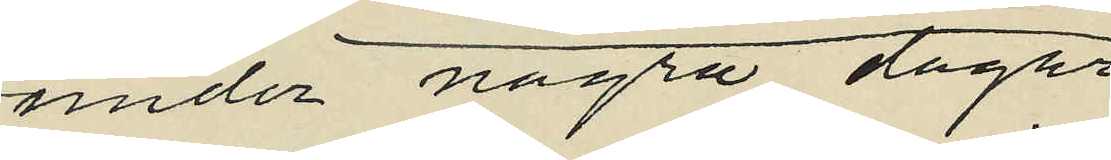under några dagar
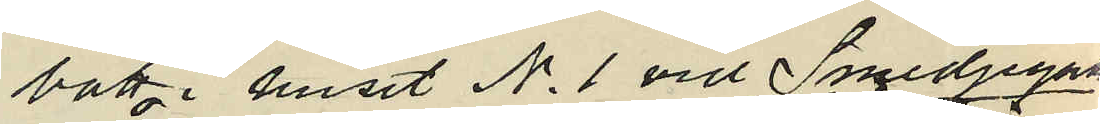bott i huset No 1 vid Smedjegatan
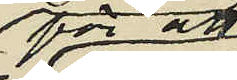för att
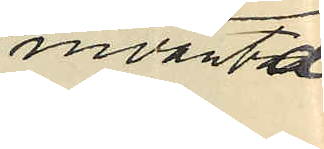invänta
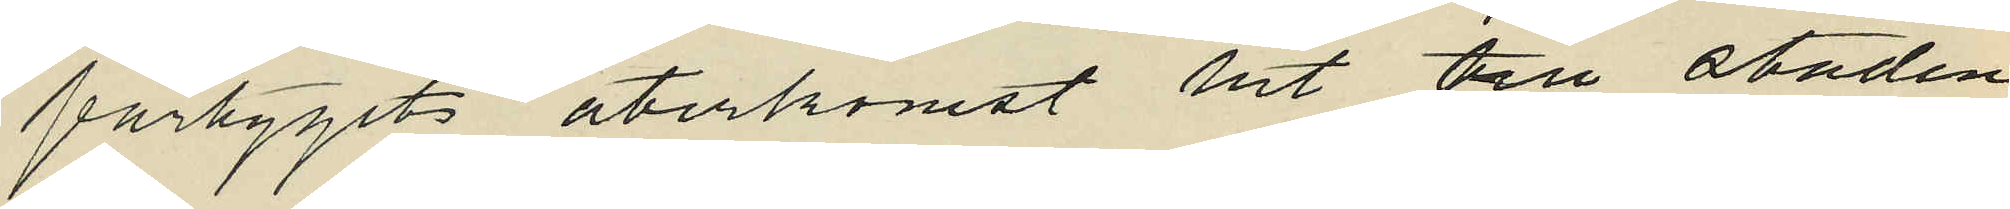fartygets återkomst hit till staden
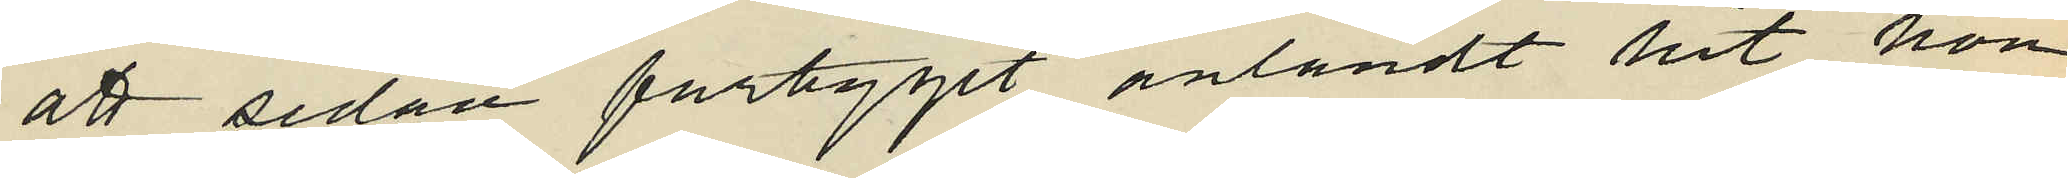att sedan fartyget anländt hit hon
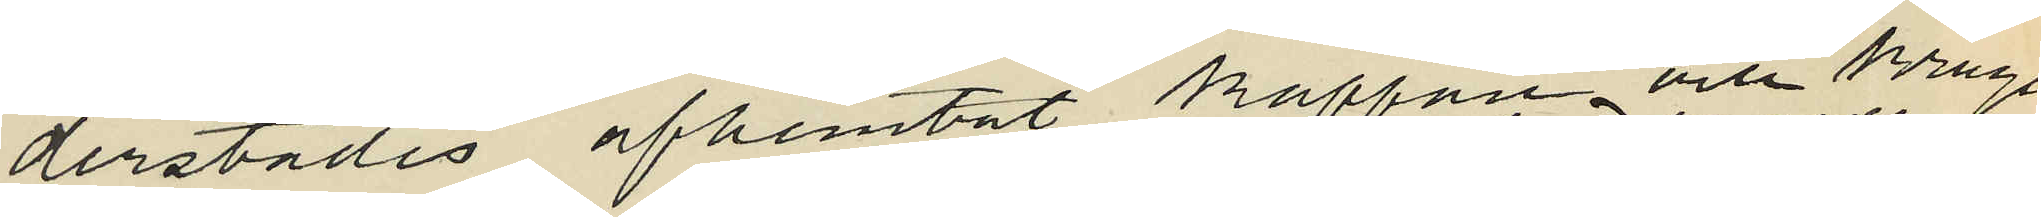derstädes afhemtat kappan och kragen
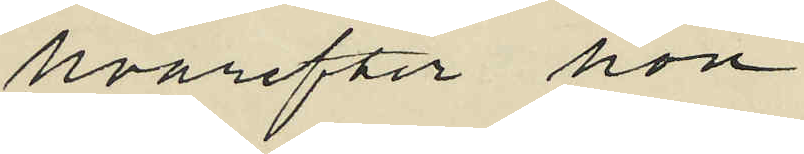hvarefter hon
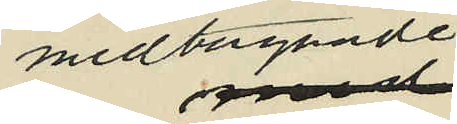medtagande
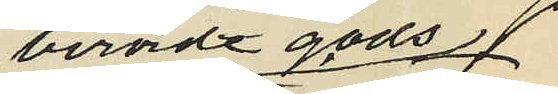berörde gods
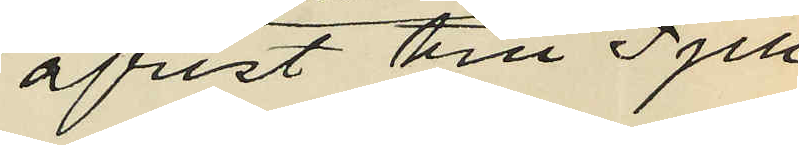afrest till Fjell
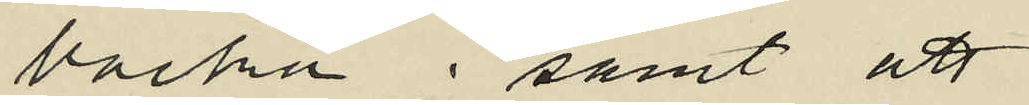backa; samt att
